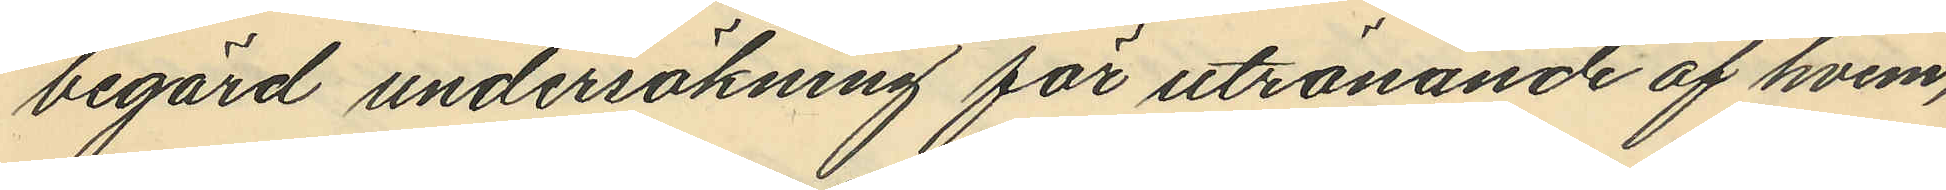begärd undersökning för utrönande af hvem,
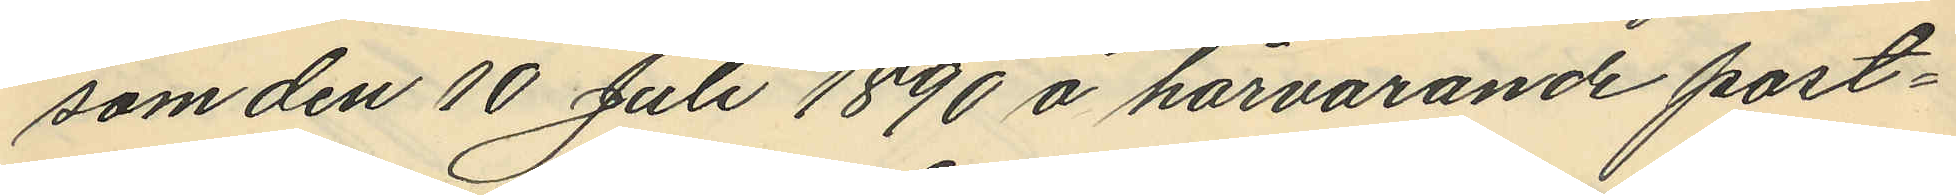som den 10 Juli 1890 å härvarande post¬
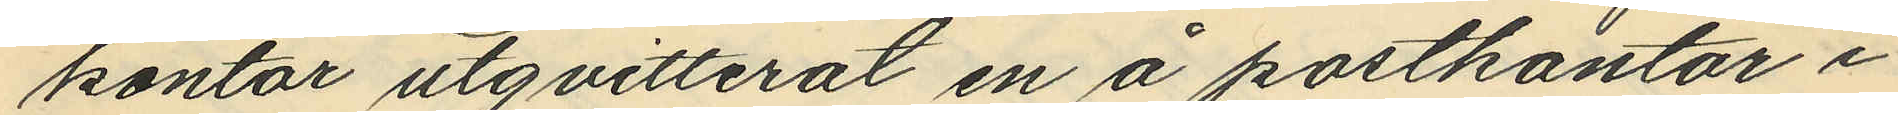kontor utqvitterat en å postkontor i
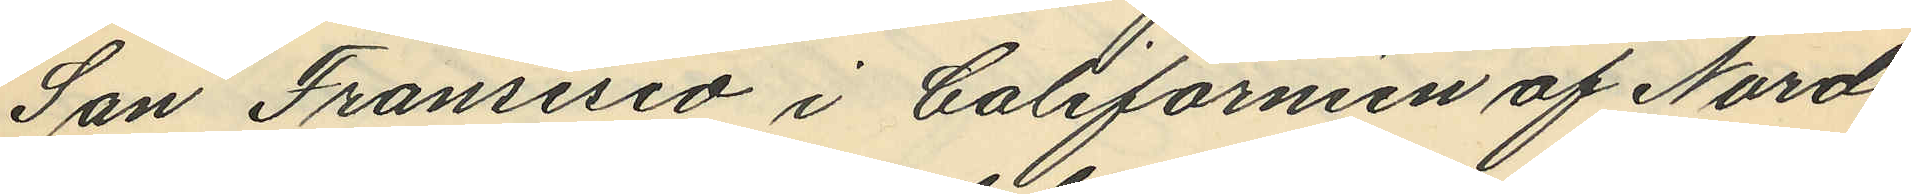San Fransisco i Californien af Nord
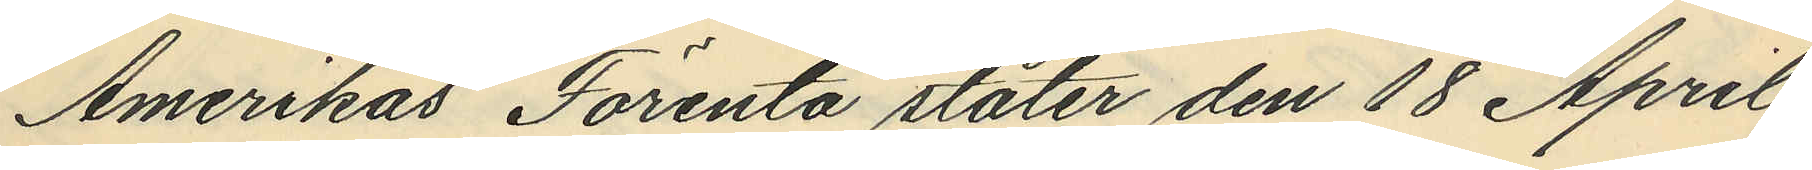Amerikas Förenta stater den 18 April
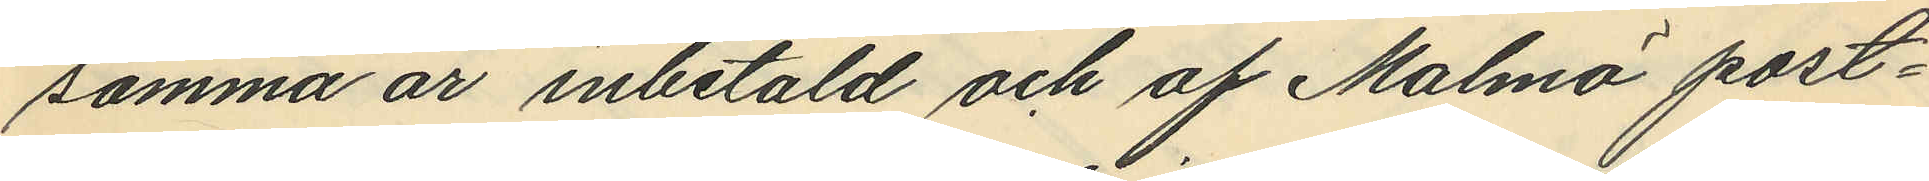samma år inbetald och af Malmö post¬
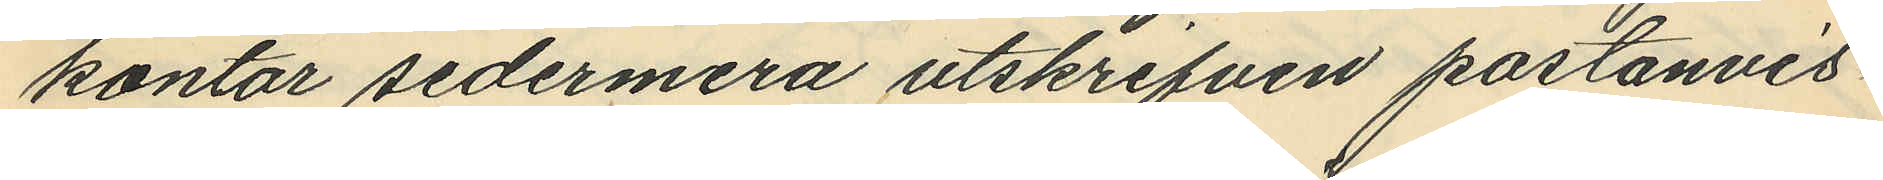kontor sedermera utskrifven postanvis¬
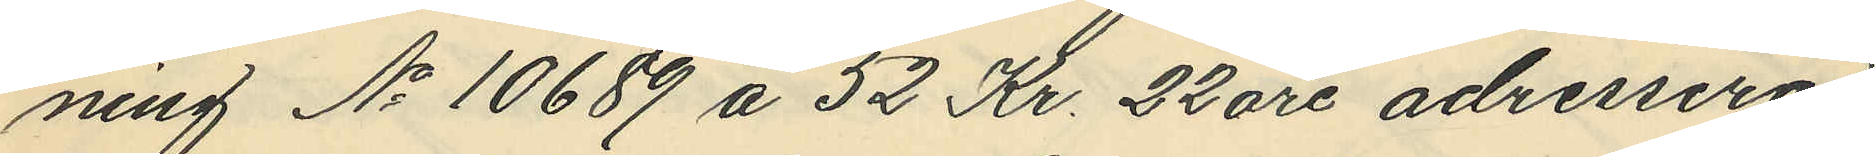ning No 10689 å 52 Kr. 22 öre adresserad
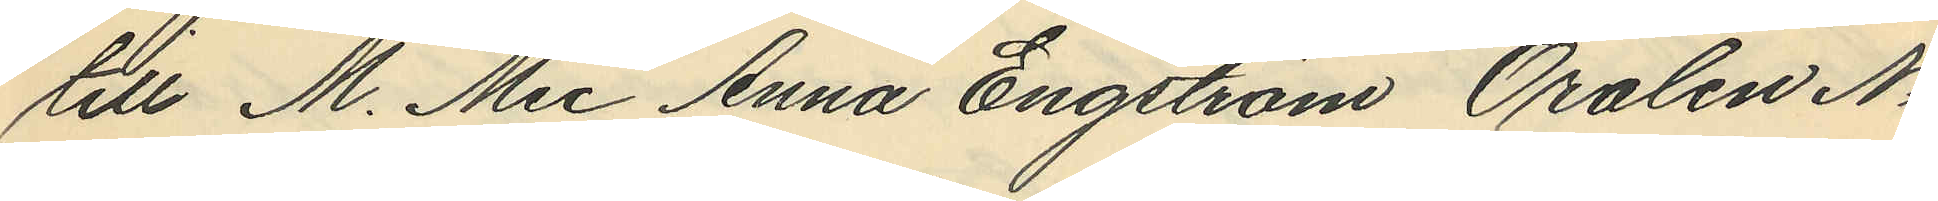till M. Mes Anna Engström Oralen No
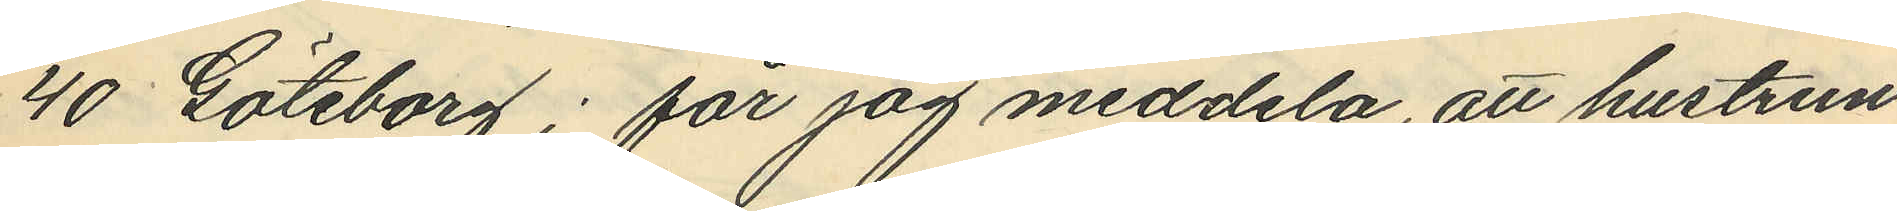40 Göteborg; får jag meddela, att hustrun
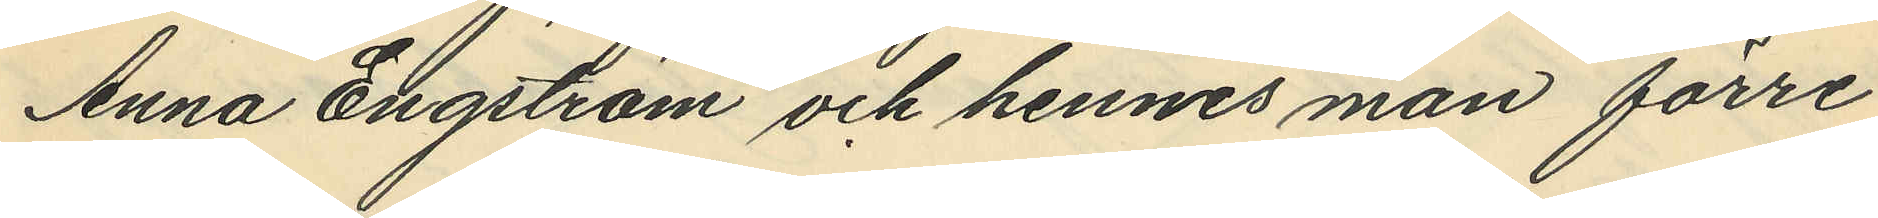Anna Engström och hennes man förre
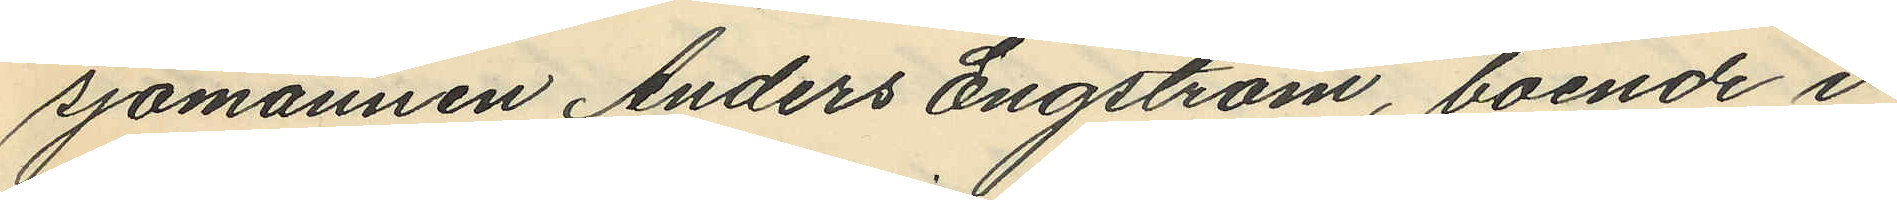sjömannen Anders Engström, boende i
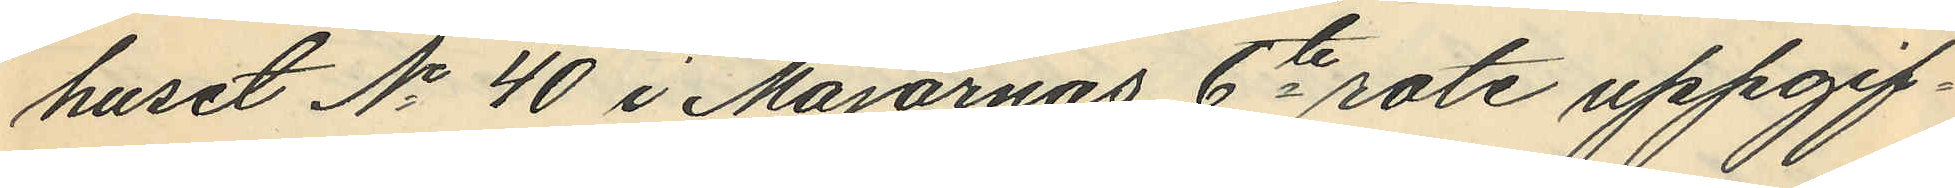huset No 40 i Majornas 6te rote uppgif¬
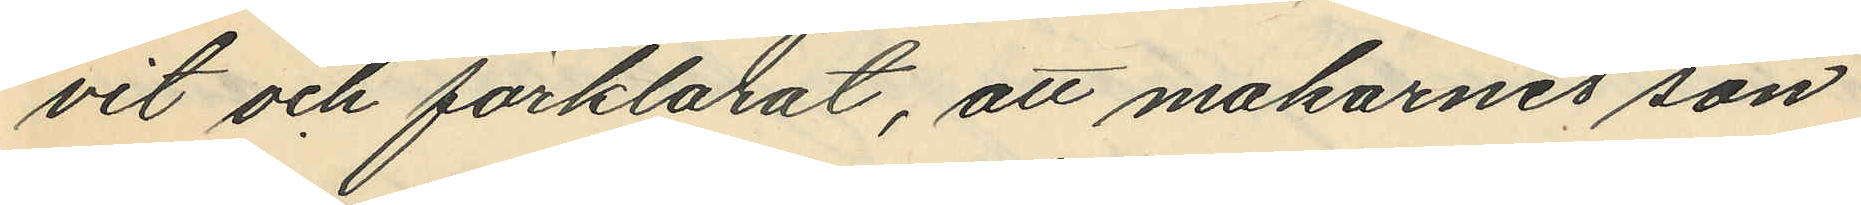vit och förklarat, att makarnes son
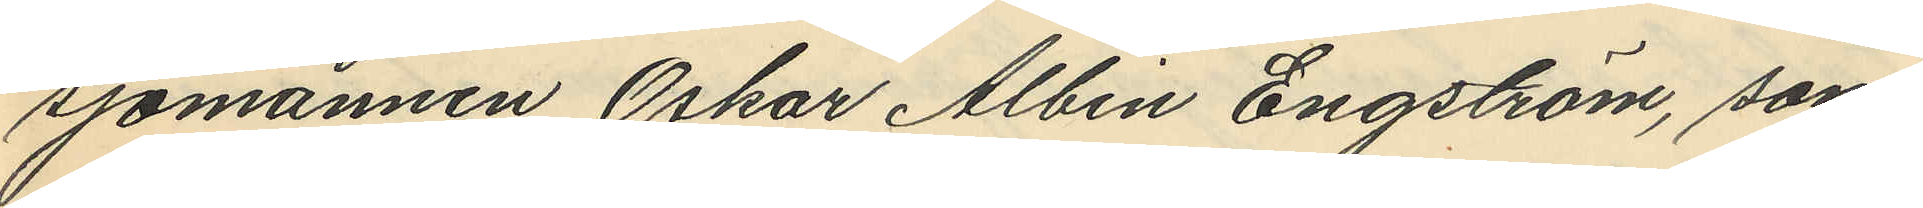sjömannen Oskar Albin Engström, som
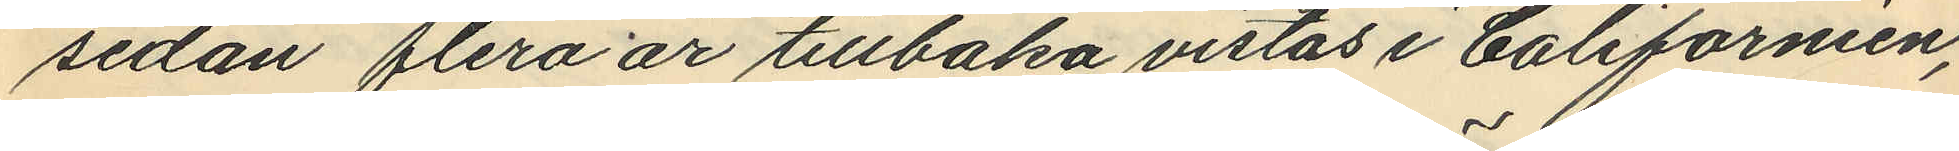sedan flera år tillbaka vistas i Californien,
